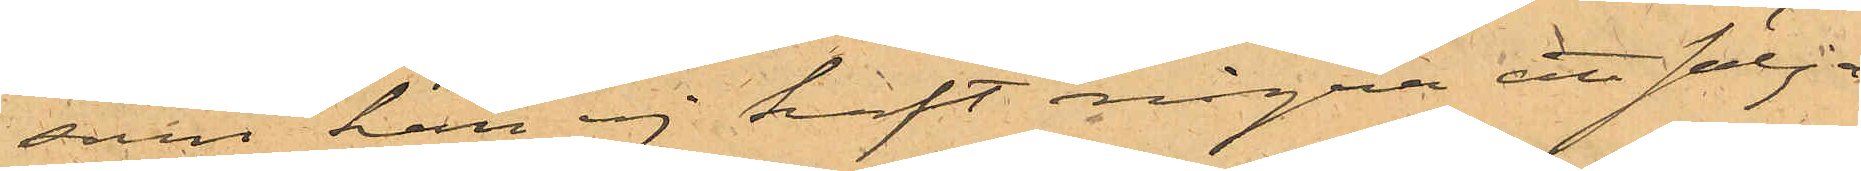som han ej haft några att sälja.
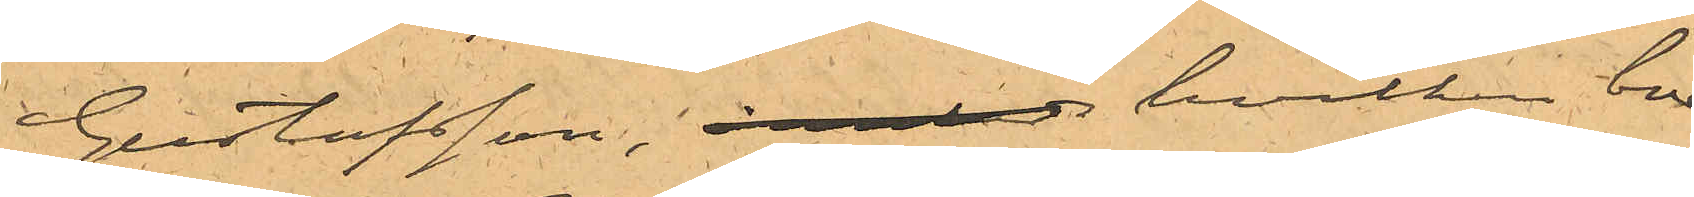Gustafsson, hvilken bor
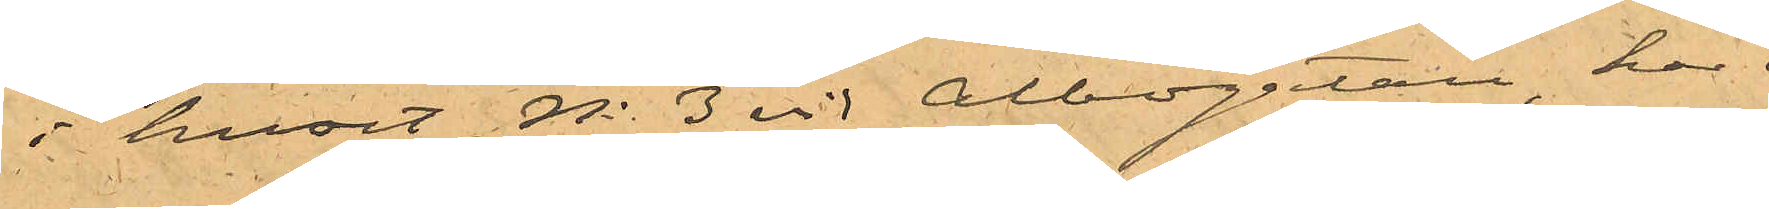i huset No 3 vid Albogatan har i
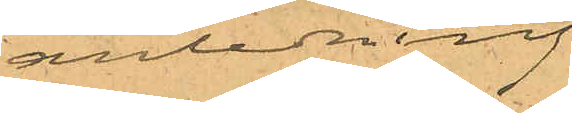anledning
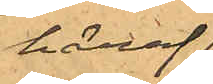häraf
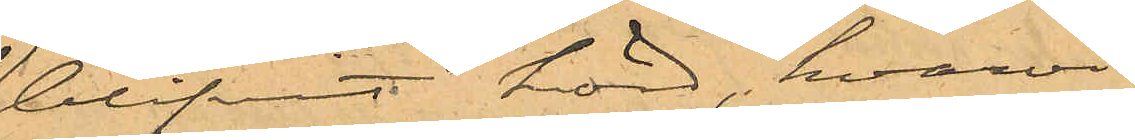blifvit hörd, hvarvid
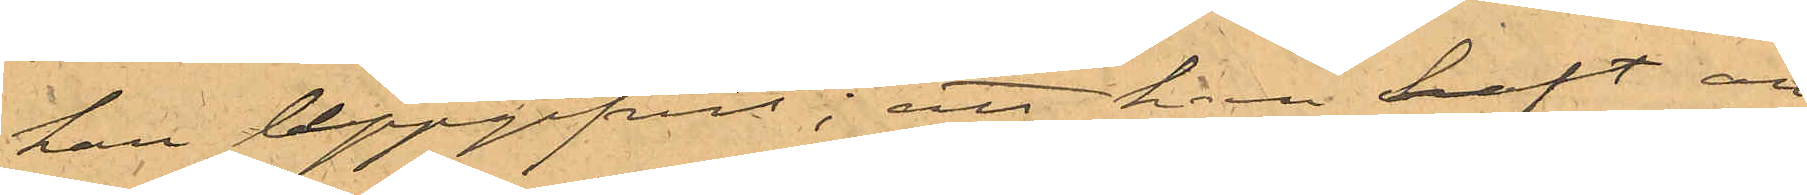han uppgifvit; att han haft an¬
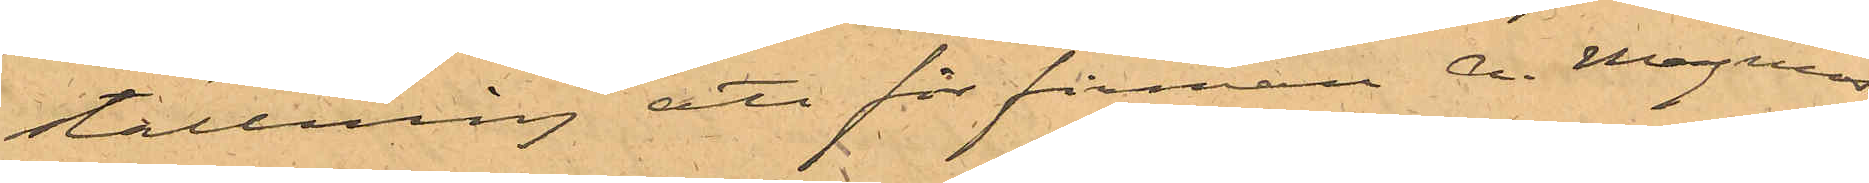ställning att för firman A. Magnus
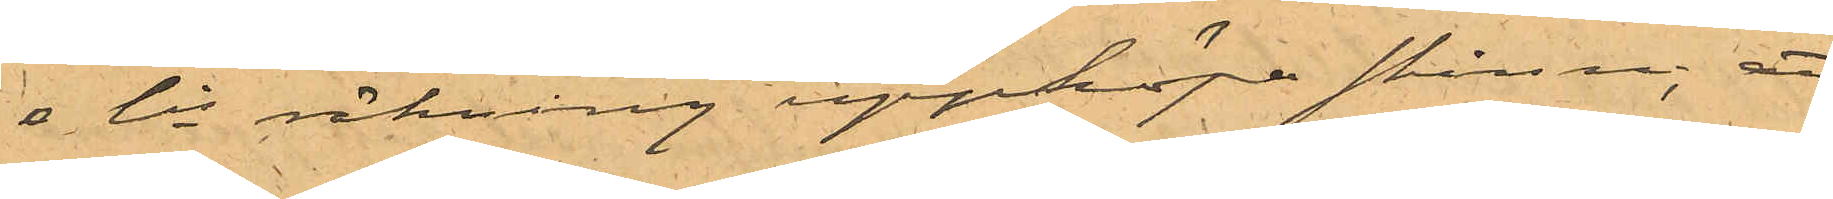& Cis räkning uppköpa skinn; att
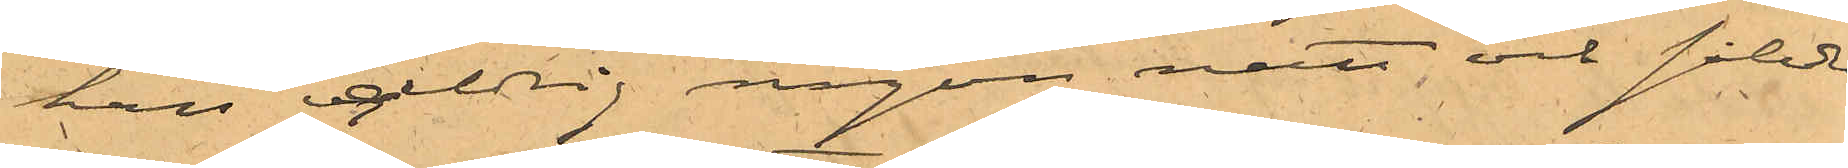han alldrig någon natt, och således
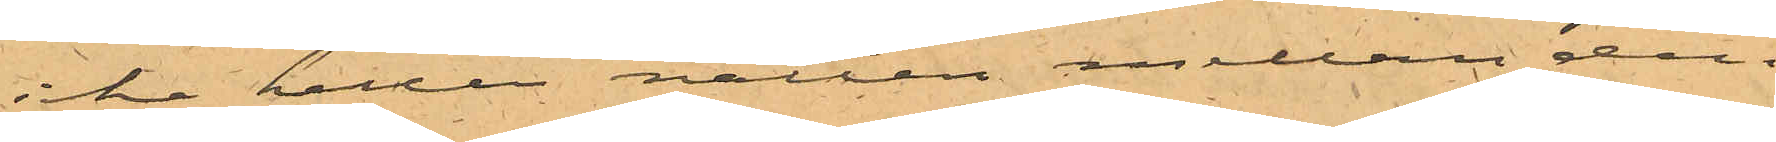icke heller natten mellan den
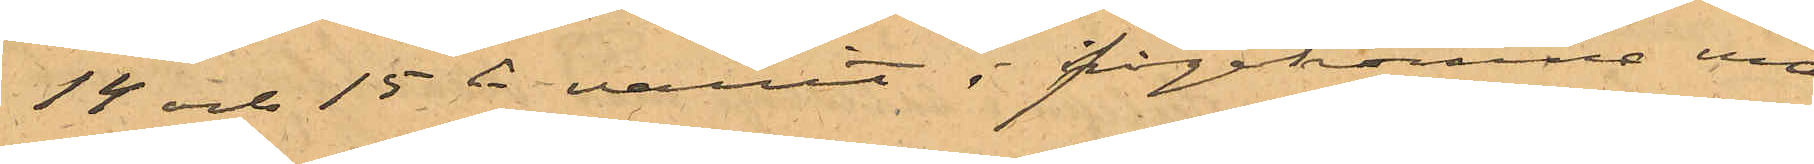14 och 15 ds varit i ifrågakomne ma¬
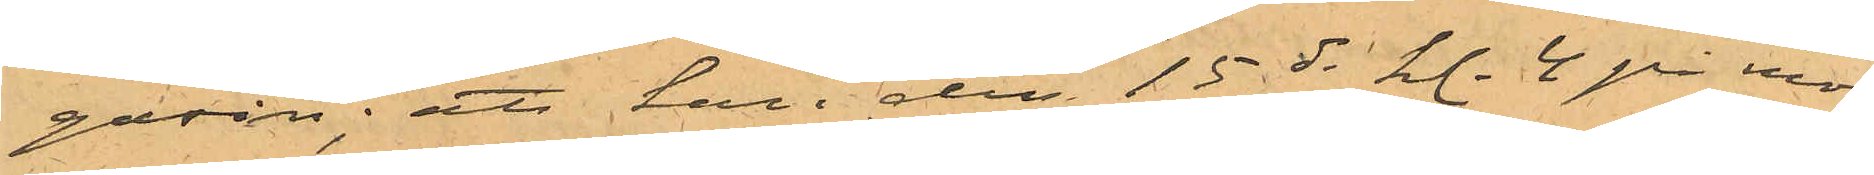gasin; att han den 15 ds kl. 4 på mo¬
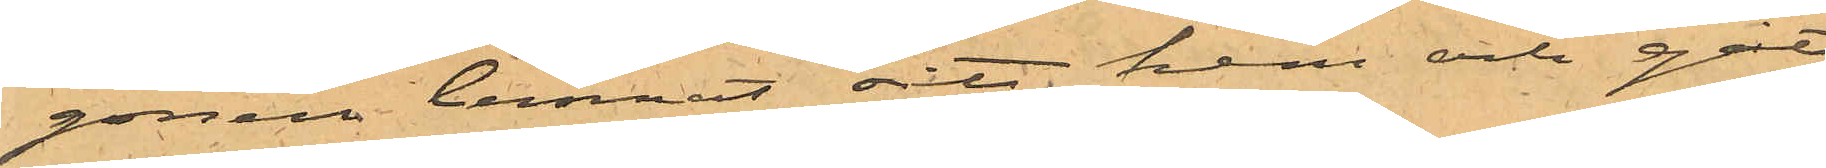gonen lemnat sitt hem och gått
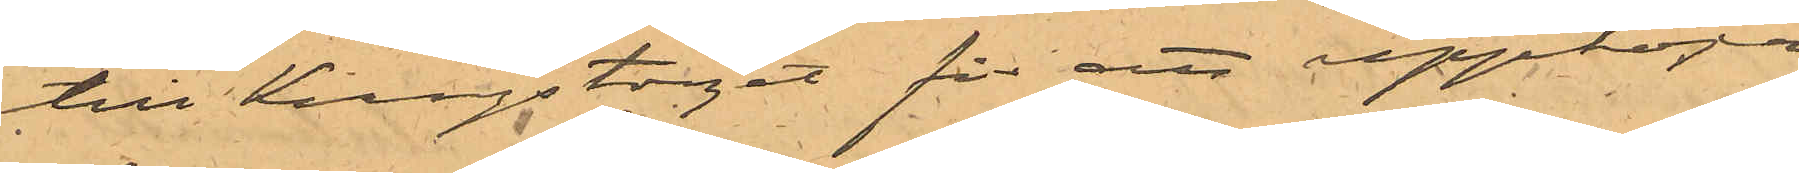till Kungstorget för att uppköpa
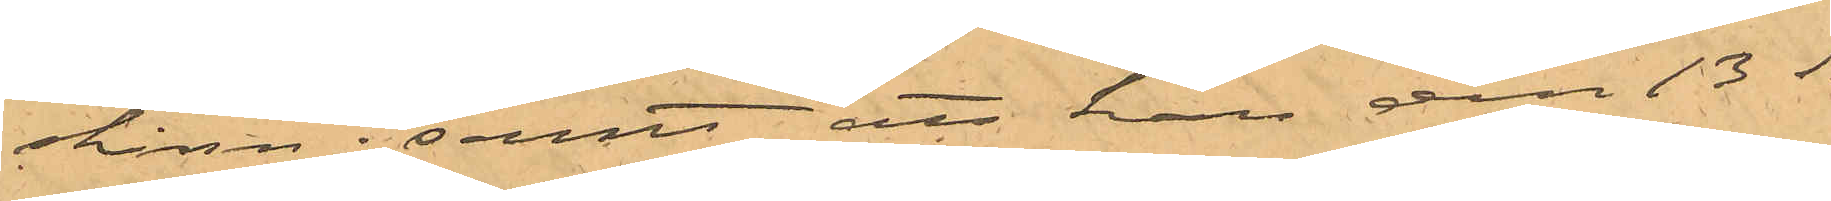skinn; samt att han den 13 ds
